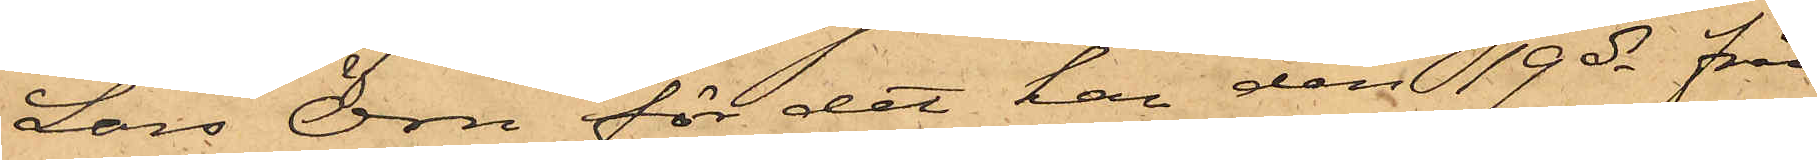Lars Örn för det han den 19 ds från
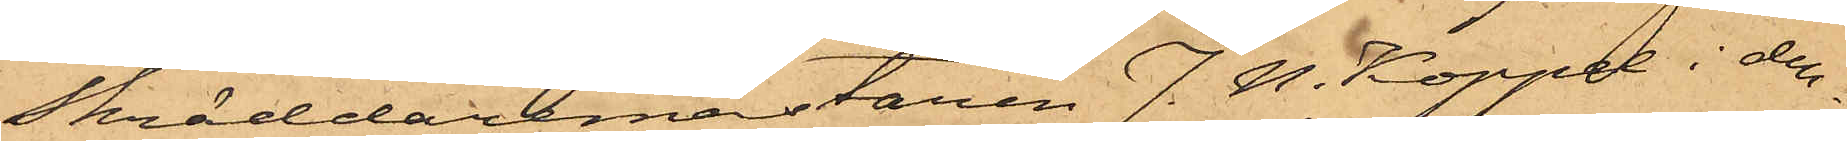Skräddaremästaren J. N. Koppel i den¬
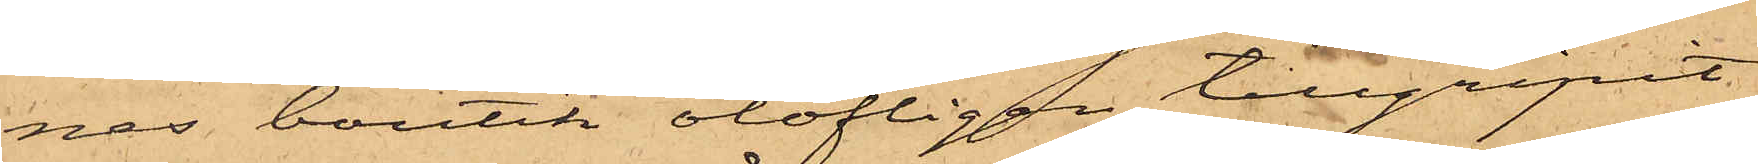nes boutik olofligen tillgripit
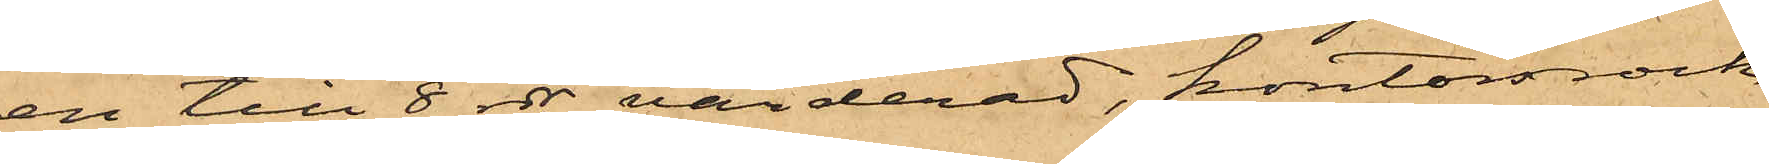en till 8 rdr värderad, kontorsrock
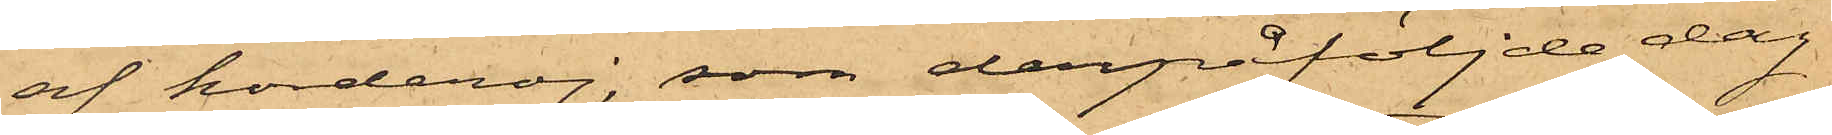af korderoj, som derpåföljde dag
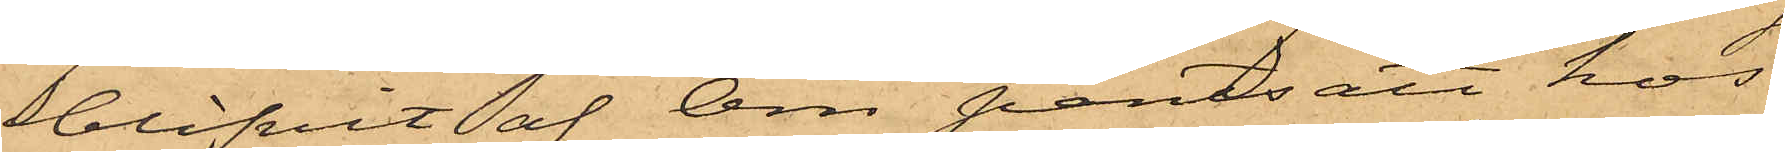blifvit af Örn pantsatt hos
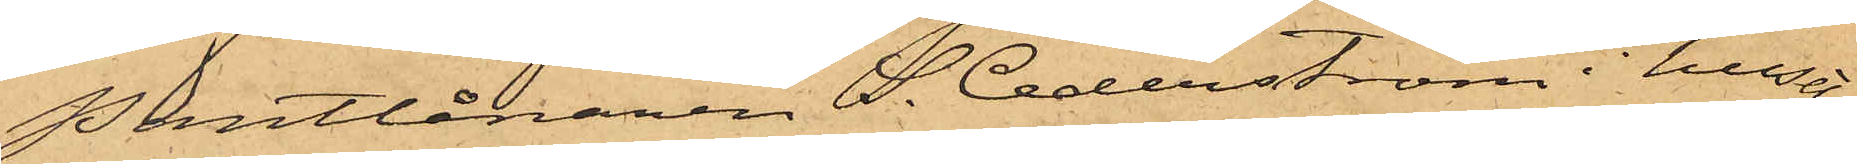Pantlånaren S. Cederström i huset
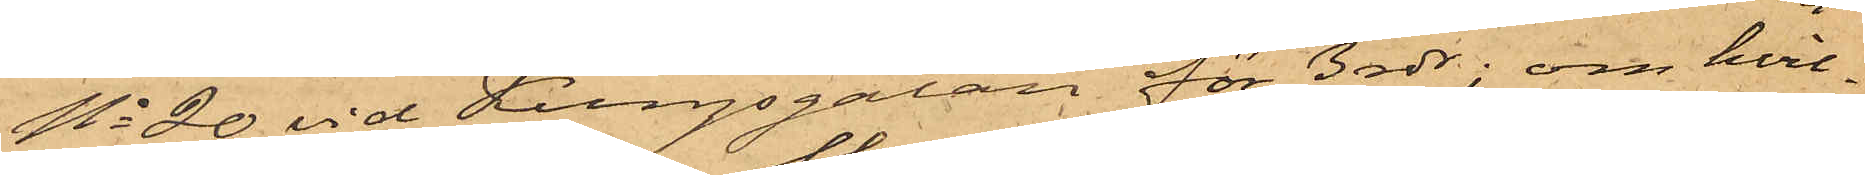No 20 vid Kungsgatan för 3 rdr; om hvil¬
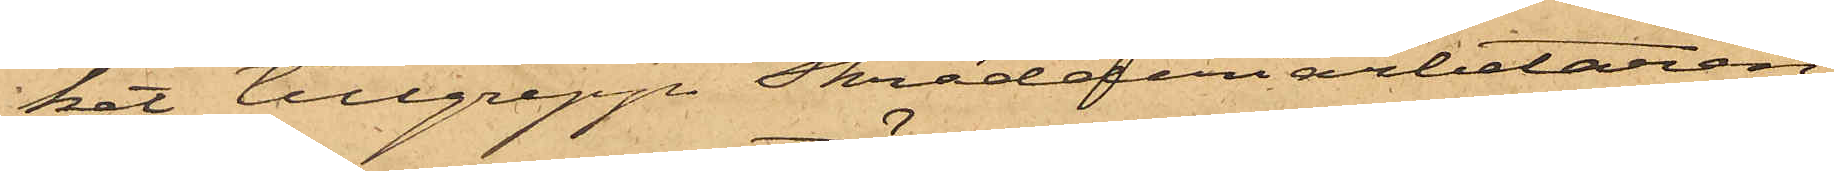ket tillgrepp Skrädderiarbetaren
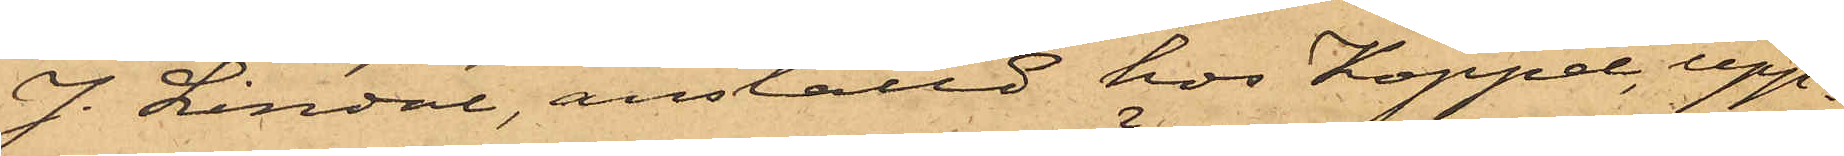J. Lindal, anställd hos Koppel, upp¬
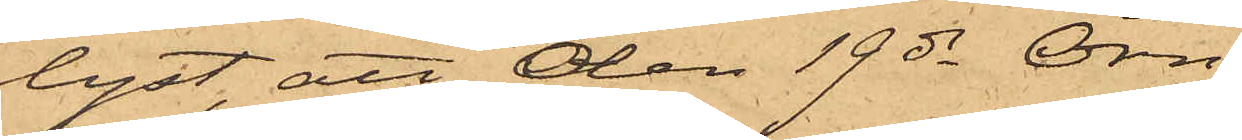lyst, att den 19 ds Örn,
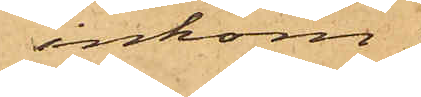inkom¬
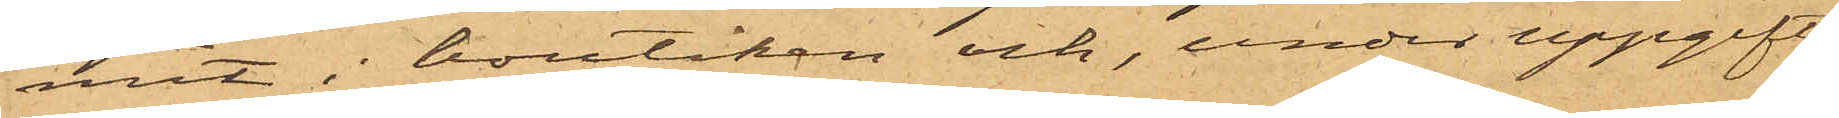mit i boutiken och, under uppgift
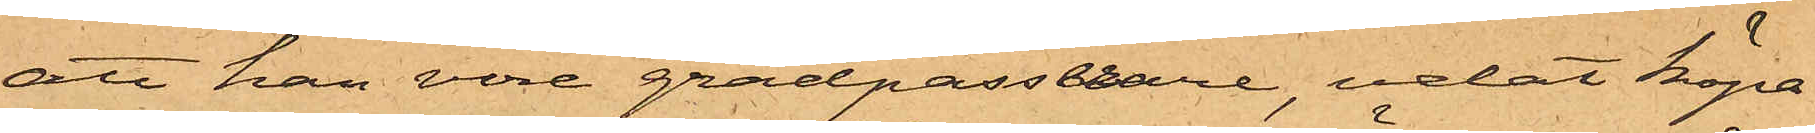att han vore gradpasserare, velat köpa
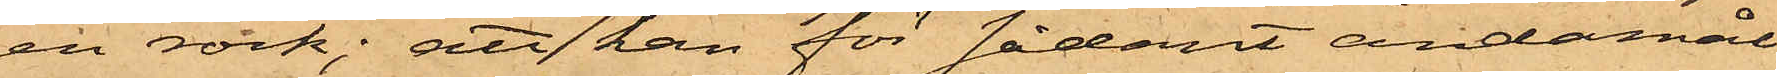en rock; att han för sådant ändamål
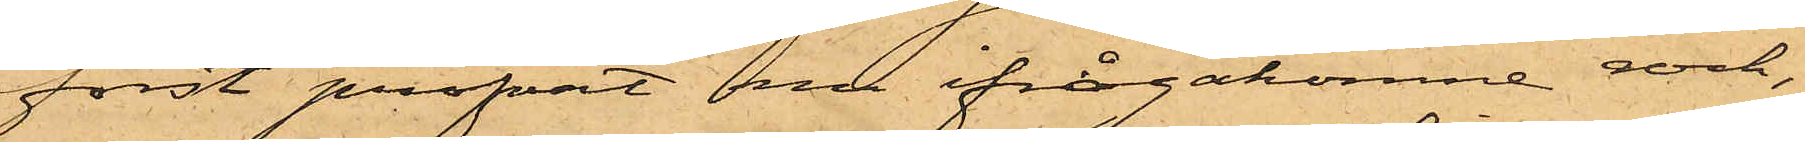först profvat nu ifrågakomne rock,
